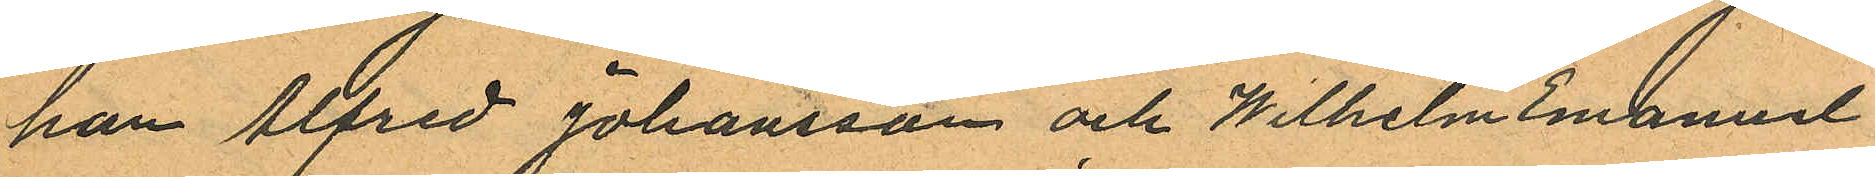han Alfred Johansson och Wilhelm Emanuel
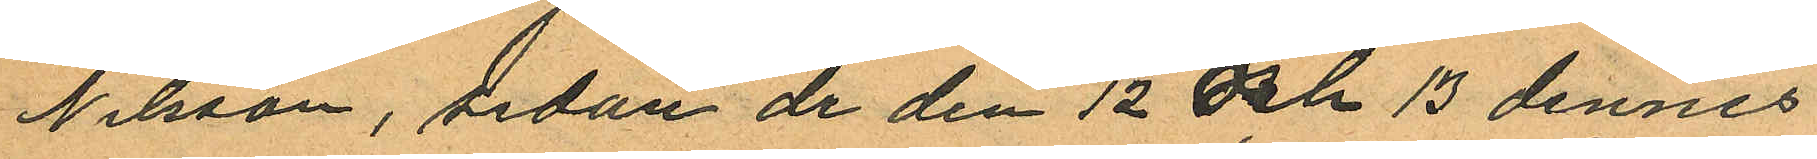Nilsson, sedan de den 12 och 13 dennes
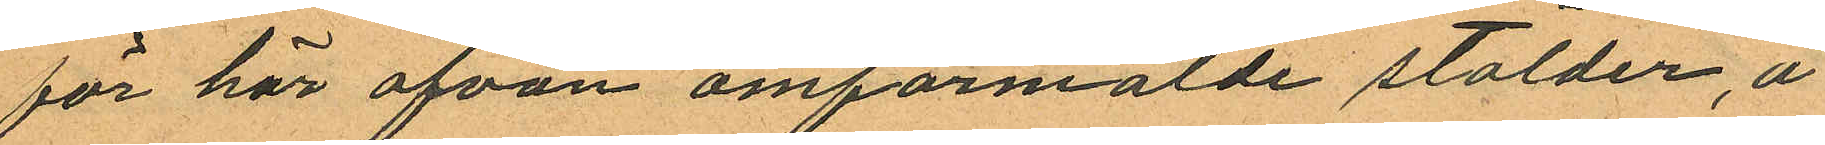för här ofvan omförmälde stölder, å
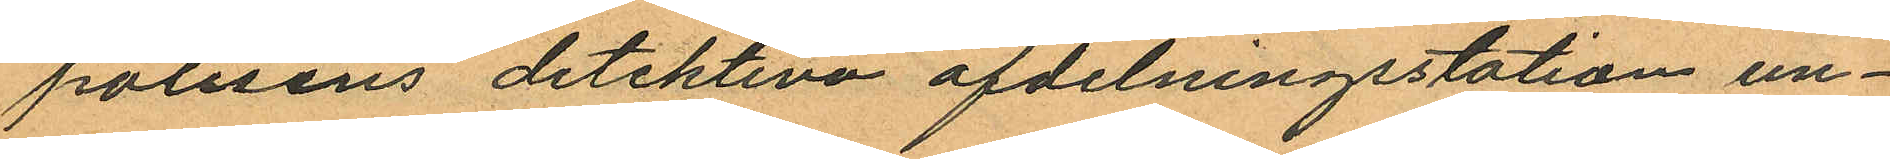polisens detektiva afdelningsstation un¬
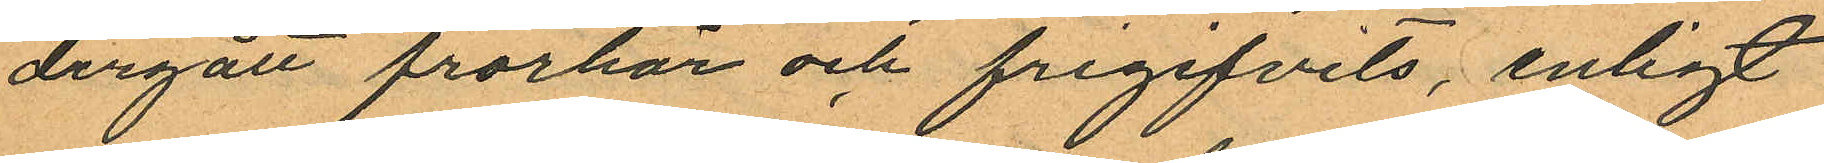dergått frorhör och frigifvits, enligt
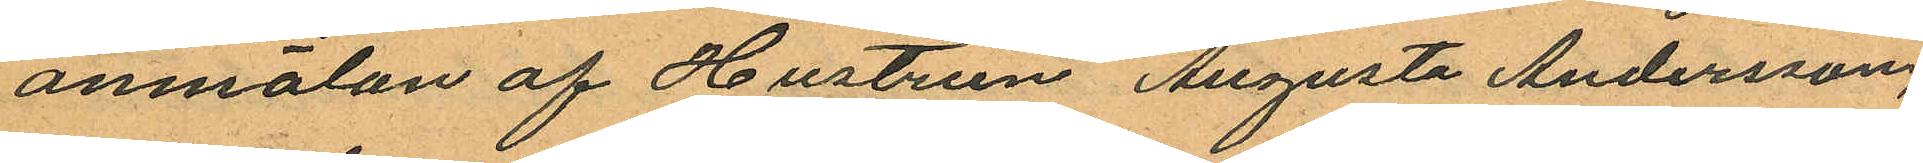anmälan af Hustrun Augusta Andersson,
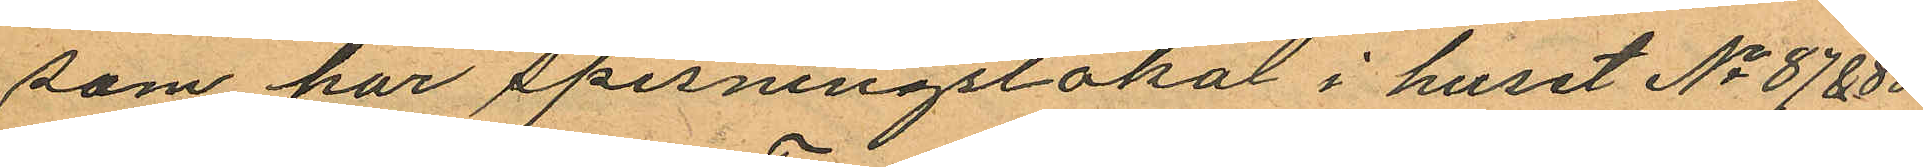som har spisningslokal i huset No 87 & 88
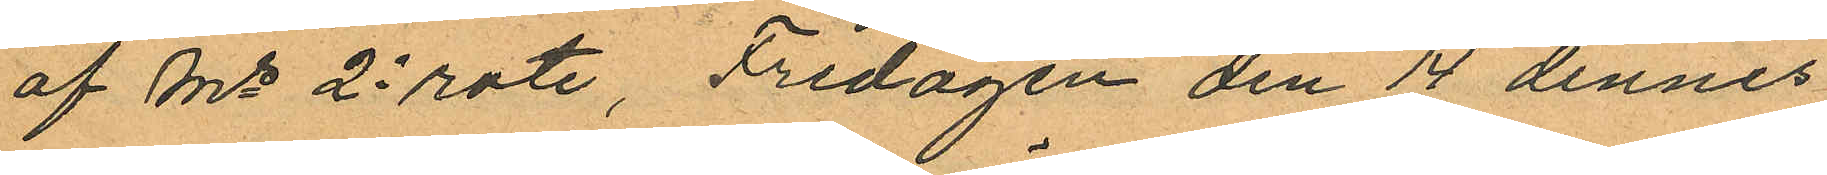af Ms 2e rote, Fredagen den 14 dennes
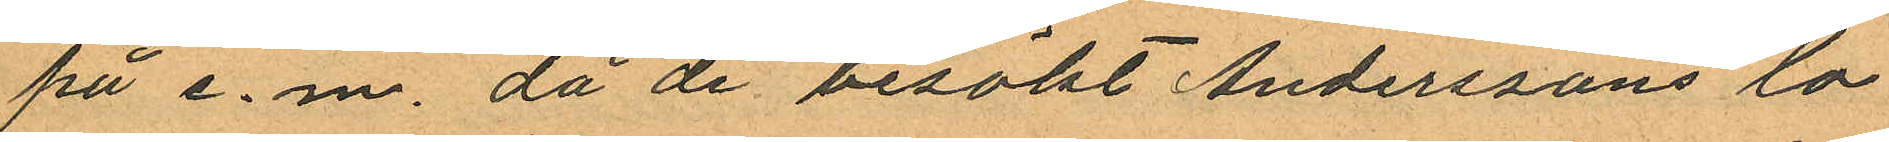på e. m. då de besökt Anderssons lo¬
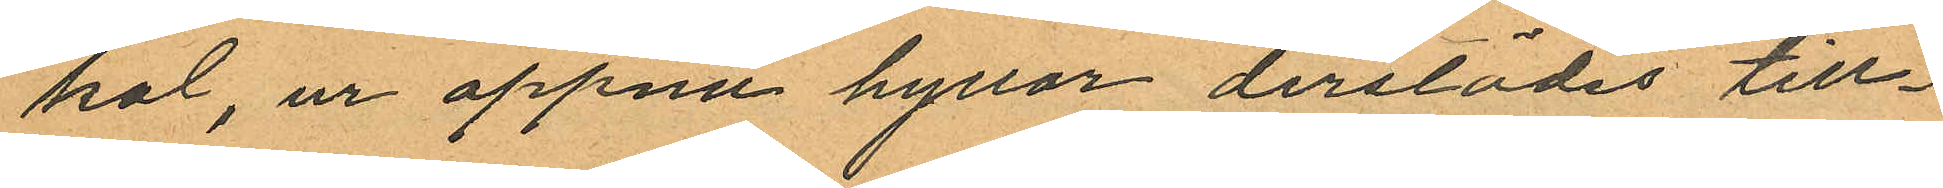kal, ur öppna hyllor derstädes till¬
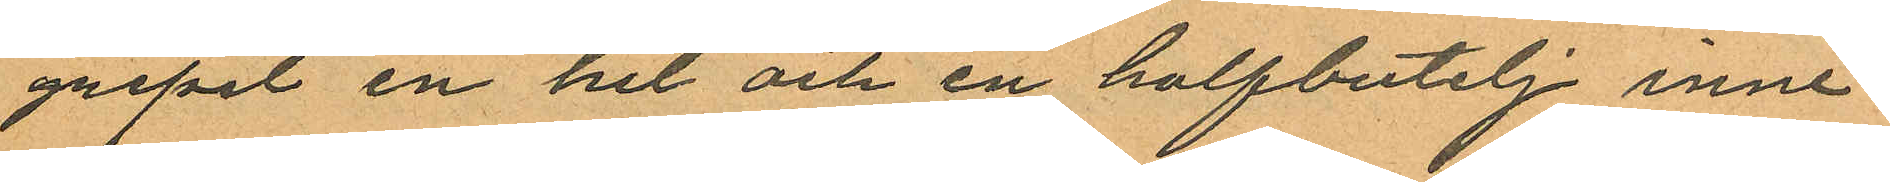gripit en hel och en halfbutelj inne¬
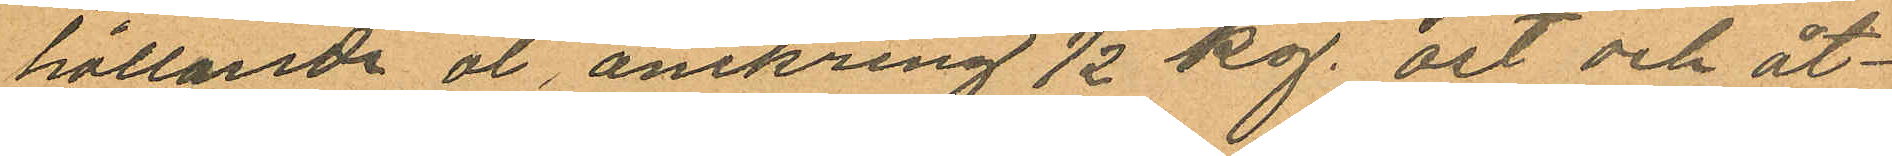hållande öl, omkring ½ kg. ost och åt¬
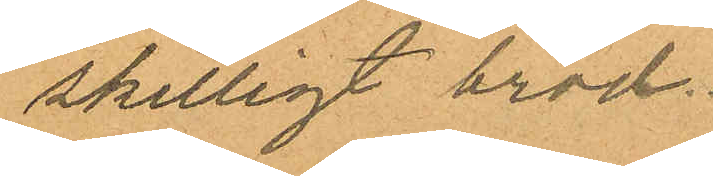skilligt bröd.
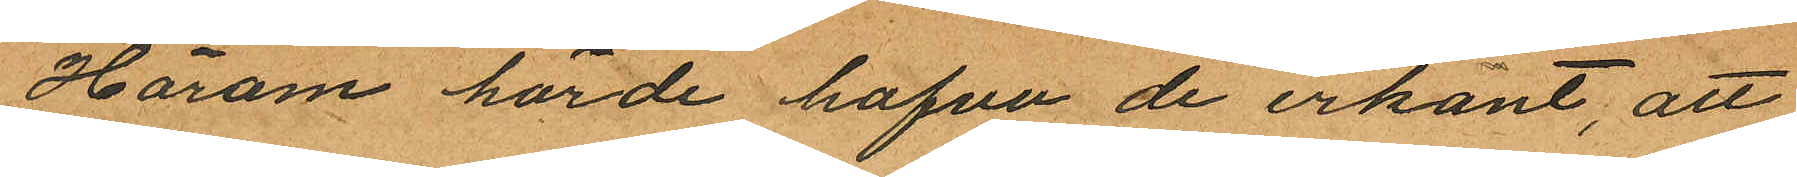Härom hörde hafva de erkänt, att
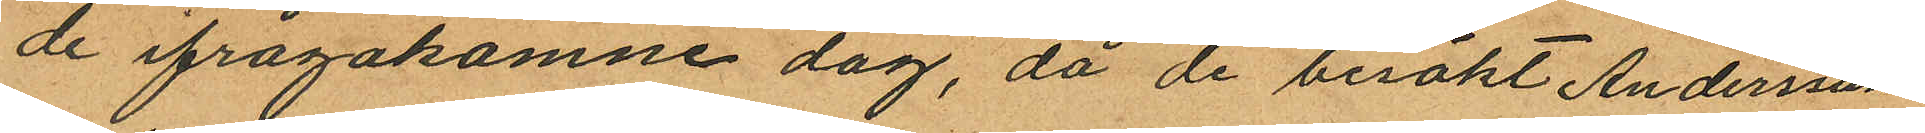de ifrågakomne dag, då de besökt Anderssons
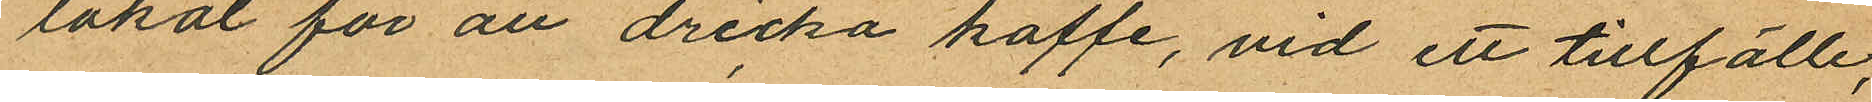lokal för att dricka kaffe, vid ett tillfälle,
